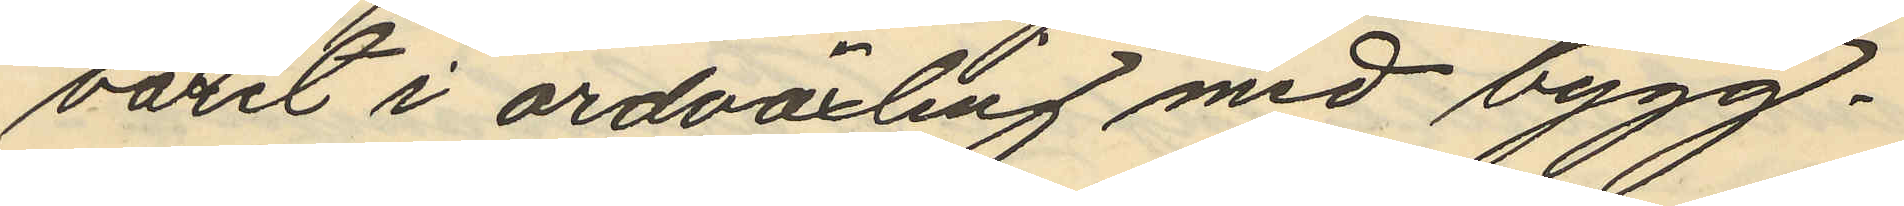varit i ordväxling med bygg¬
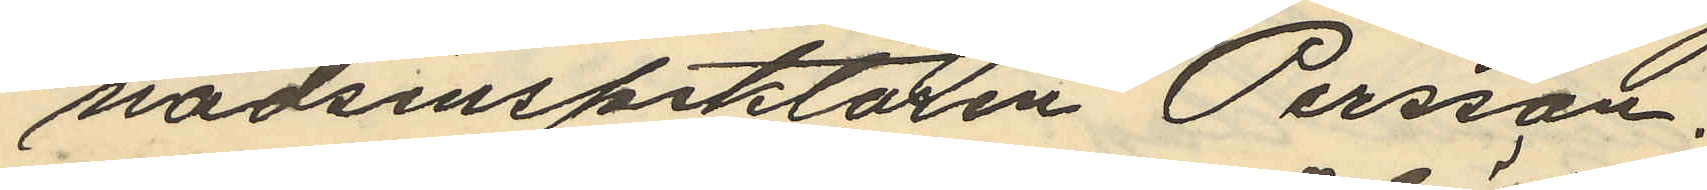nadsinspektoren Persson;
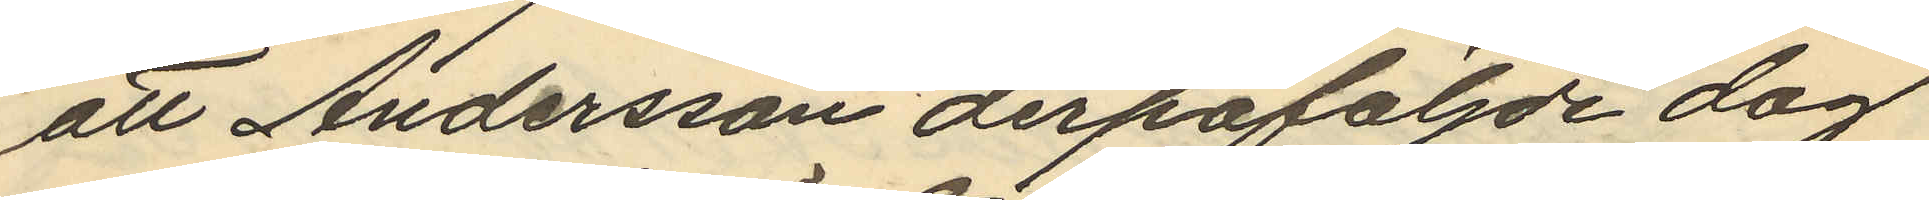att Andersson derpåföljde dag
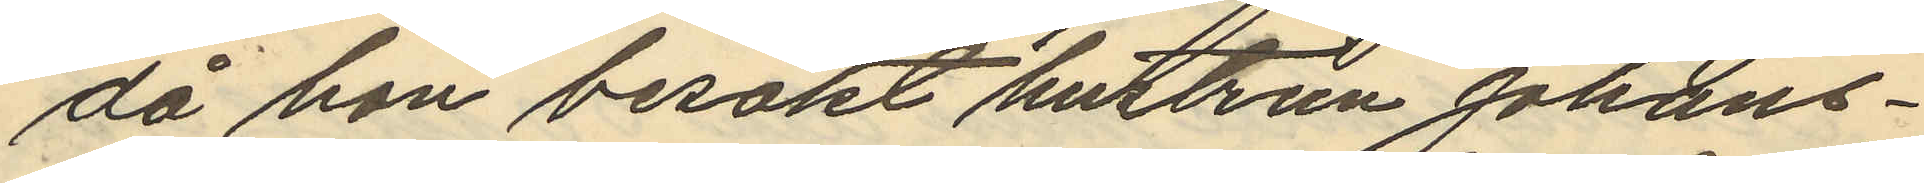då hon besökt hustrun Johans¬
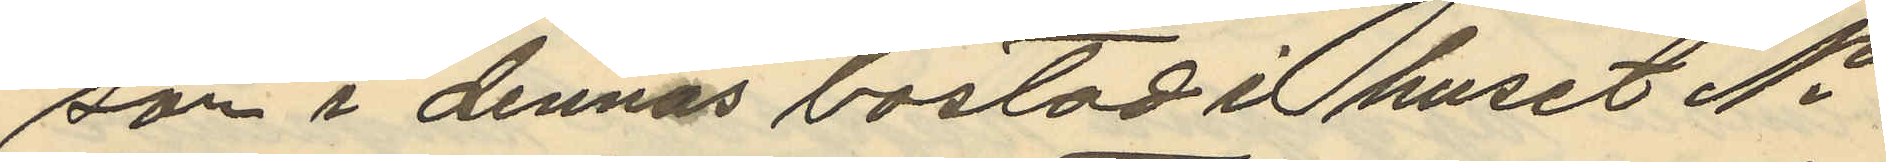son i dennas bostad i huset No
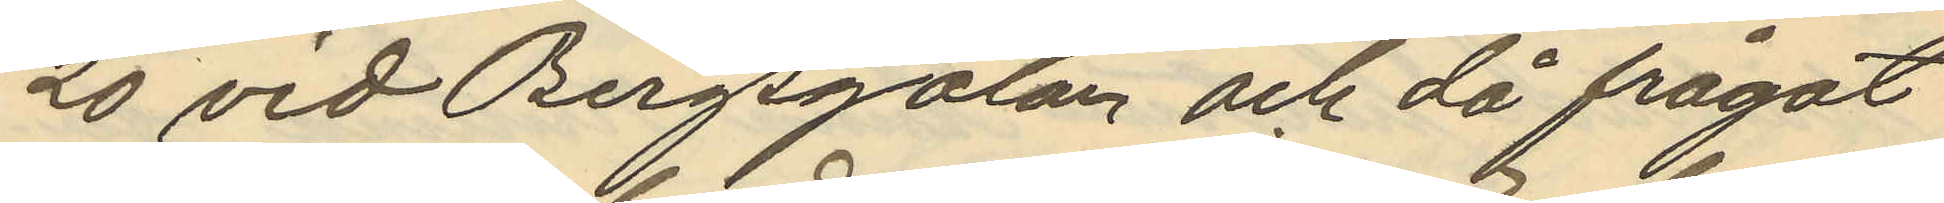20 vid Bergsgatan och då frågat
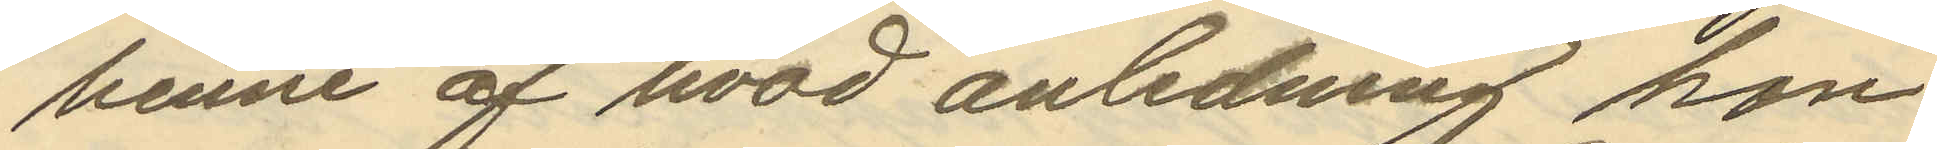henne af hvad anledning hon
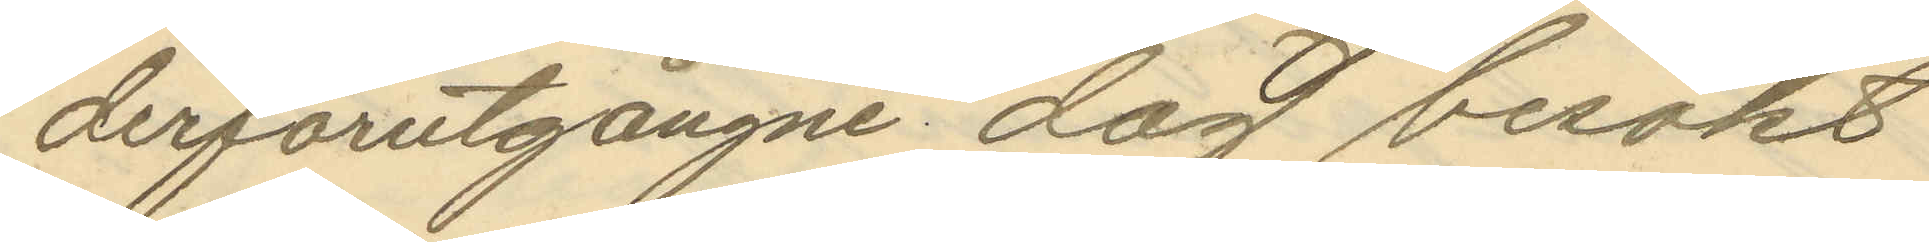derförutgångne dag besökt
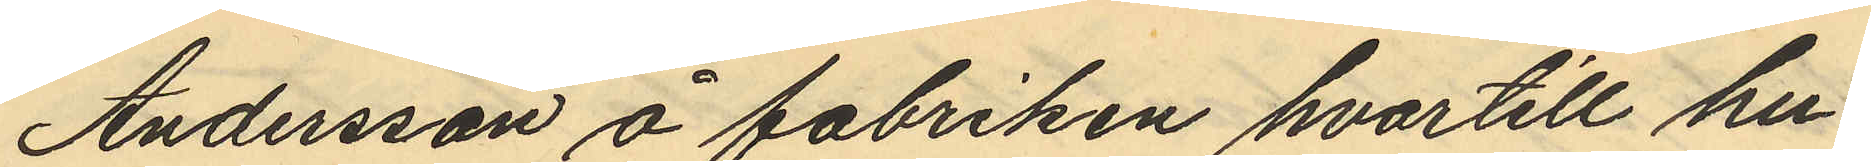Andersson å fabriken hvartill hu¬
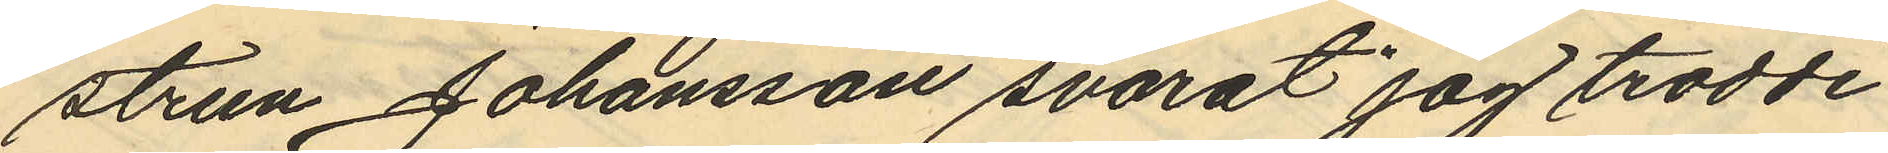strun Johansson svarat "jag trodde
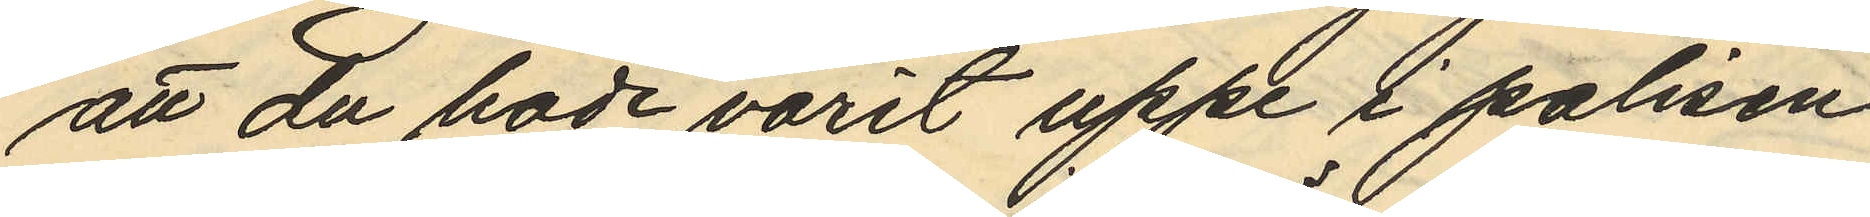att du hade varit uppe i polisen
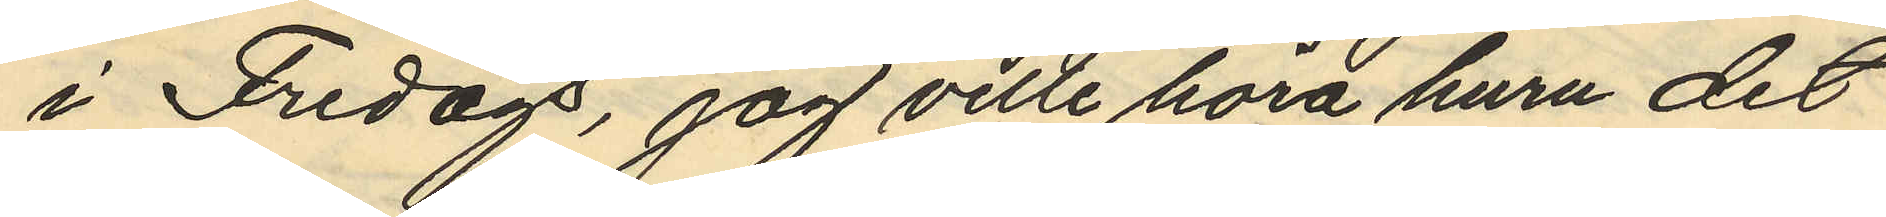i Fredags, jag ville höra huru det
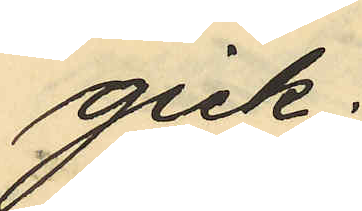gick:
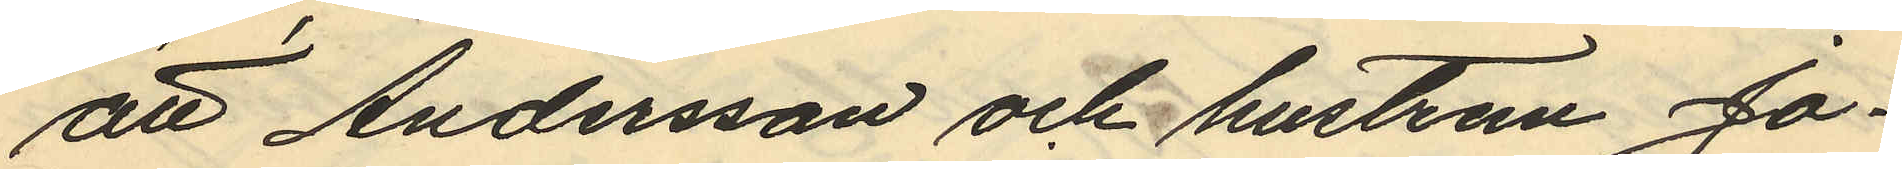att Andersson och hustrun Jo¬
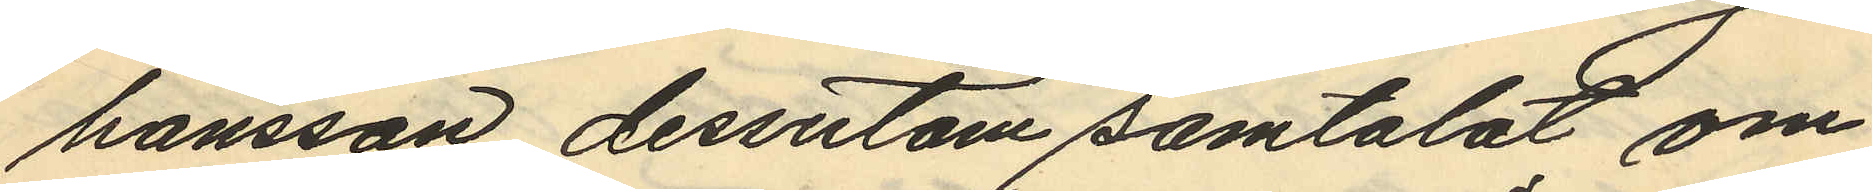hansson dessutom samtalat om
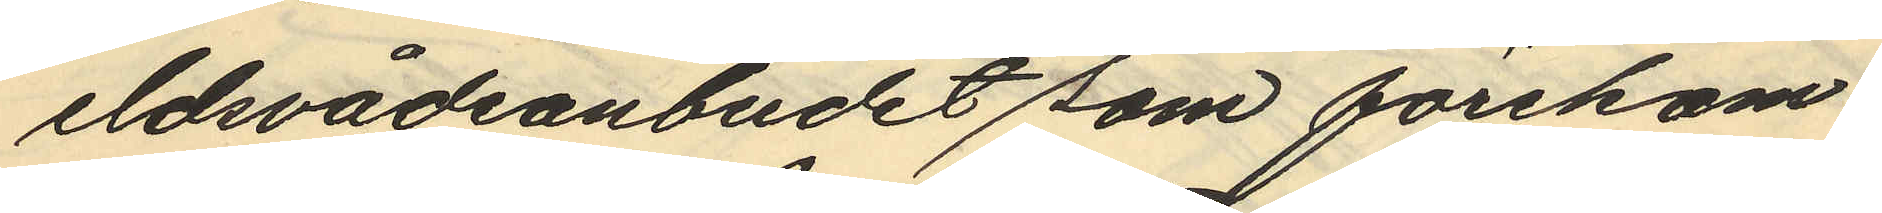eldsvådeanbudet som förekom¬
